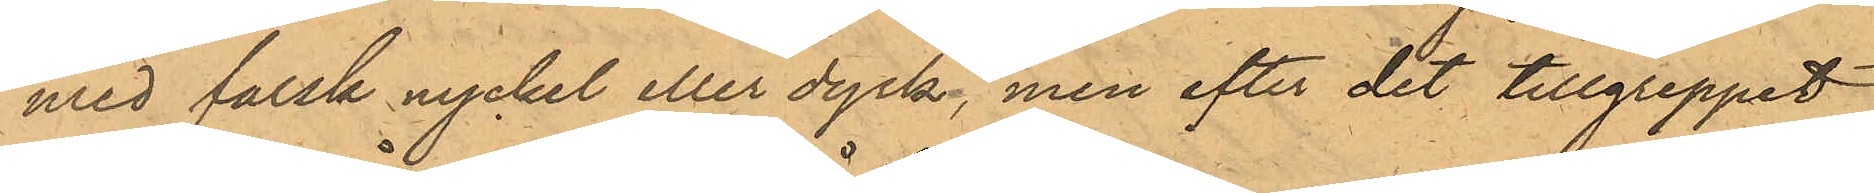med falsk nyckel eller dyrk, men efter det tillgreppet
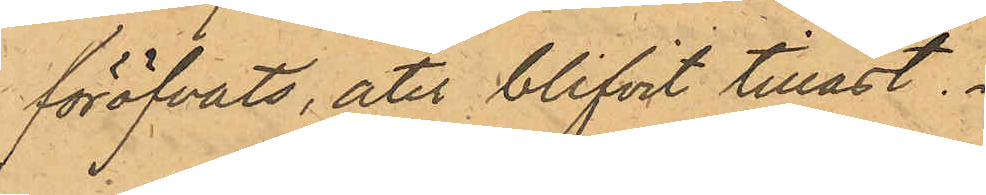föröfvats, åter blifvit tillåst.
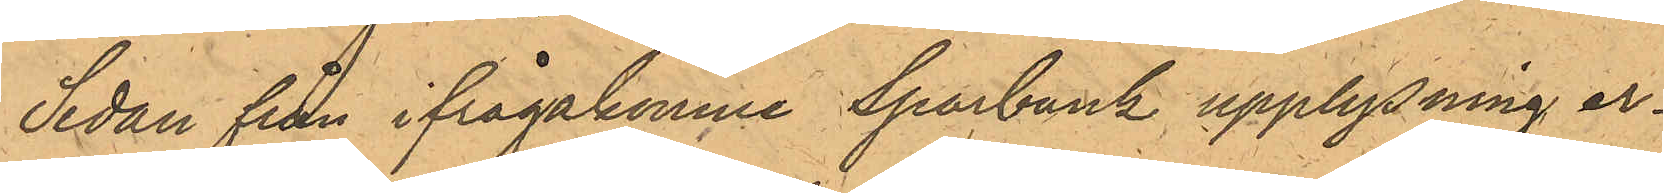Sedan från ifrågakomne Sparbank upplysning er¬
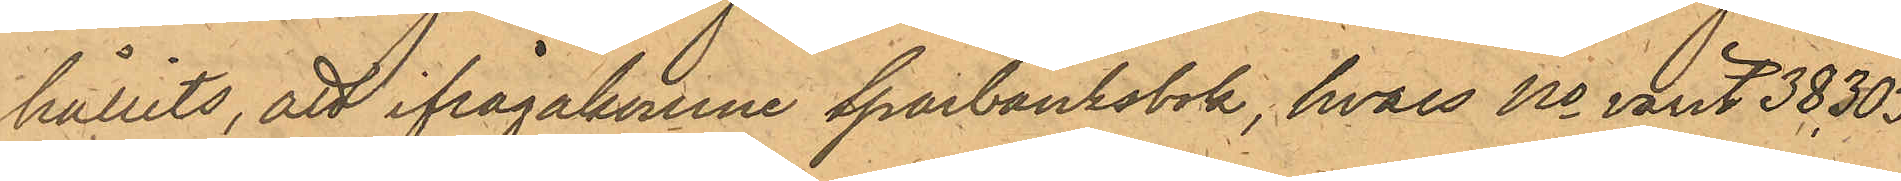hållits, att ifrågakomne sparbanksbok, hvars No varit 38,303
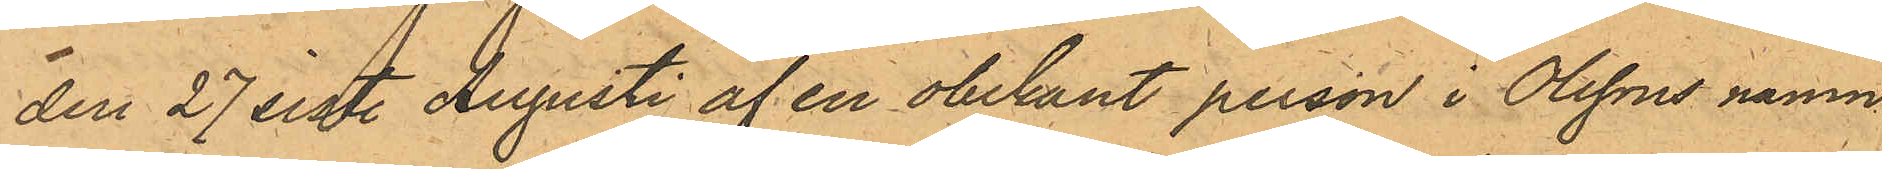den 27 sist. Augusti af en obekant person i Olssons namn
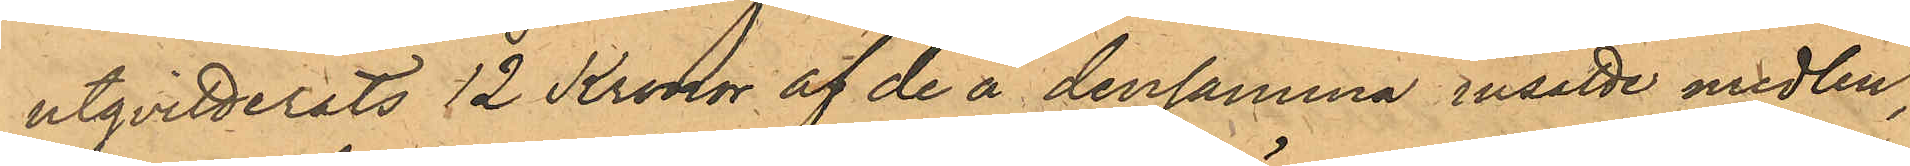utqvitterats 12 Kronor af de å densamma insatte medlen,
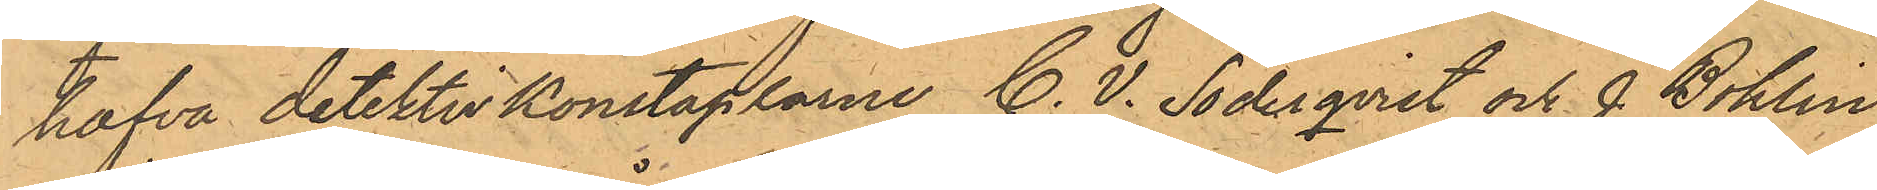hafva detektivkonstaplarne C. V. Söderqvist och J. Bohlin
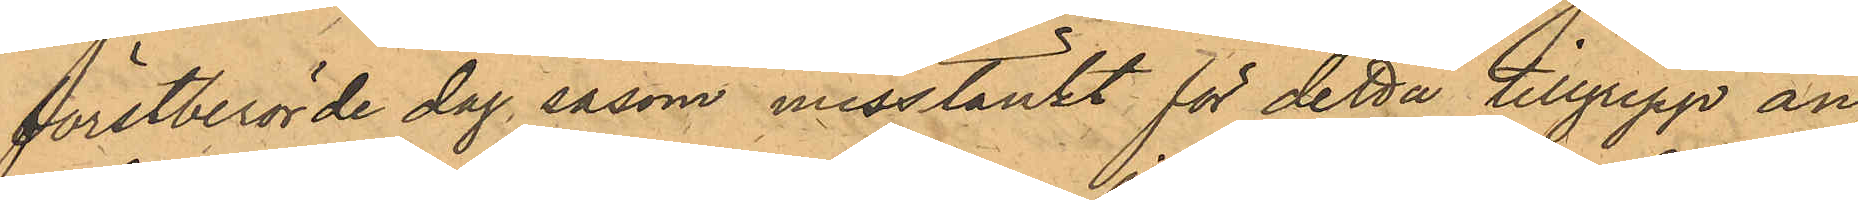förstberörde dag, såsom misstänkt för detta tillgrepp an¬
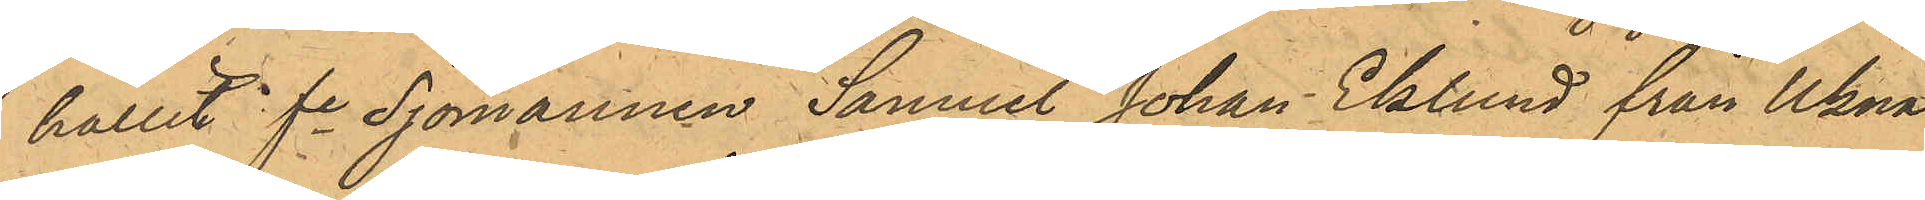hållit fe Sjömannen Samuel Johan Eklund från Ukna
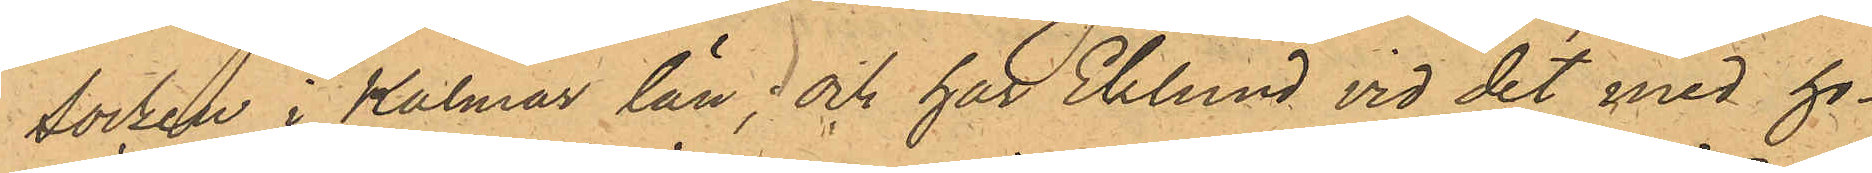Socken i Kalmar län; och har Eklund vid det med ho¬
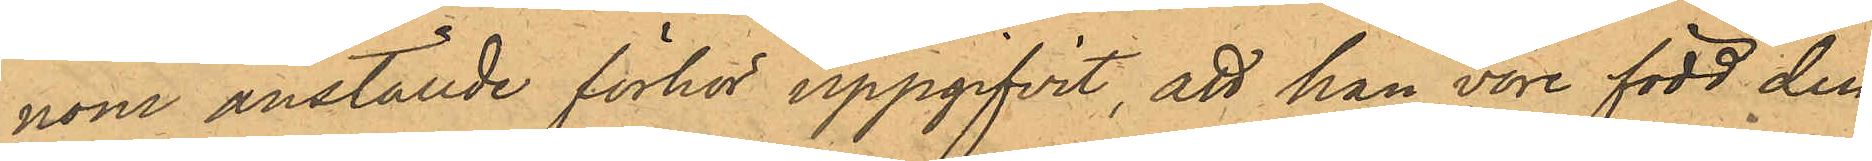nom anställde förhör uppgifvit, att han vore född den
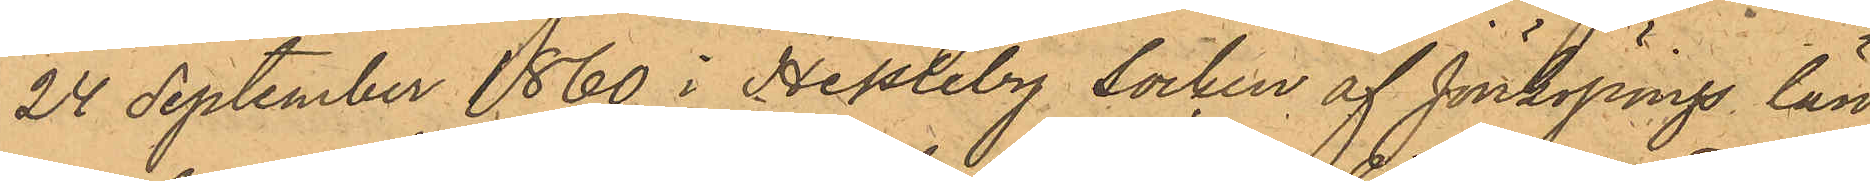24 September 1860 i Hessleby Socken af Jönköpings län
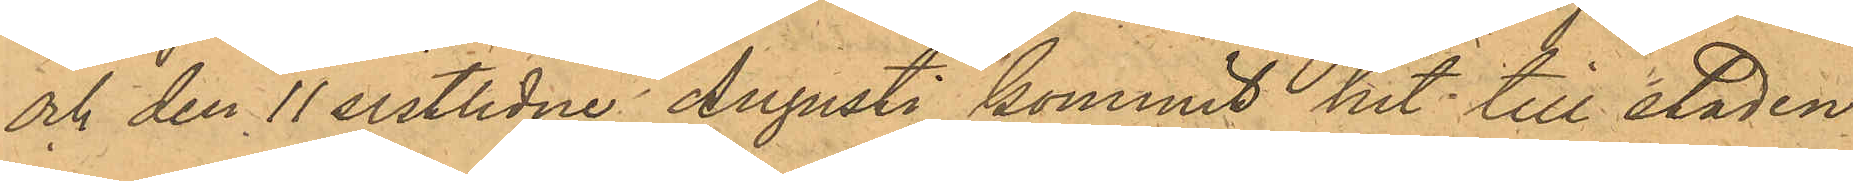och den 11 sistlidne Augusti kommit hit till staden
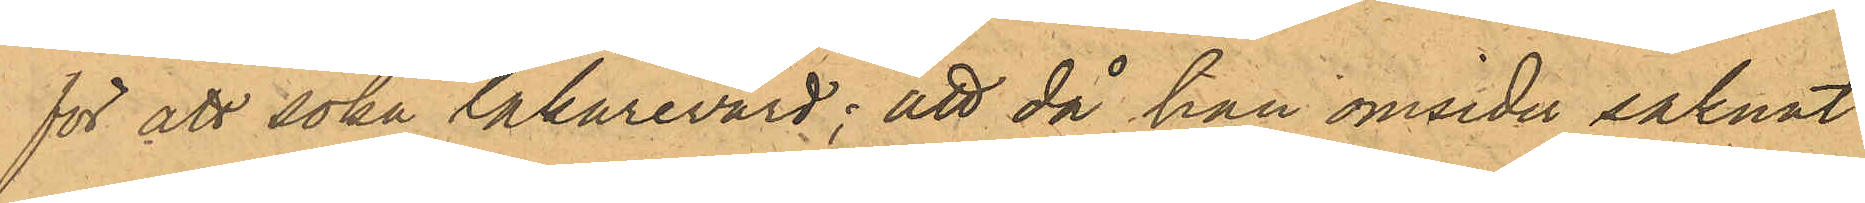för att söka läkarevärd; att då han omsider saknat
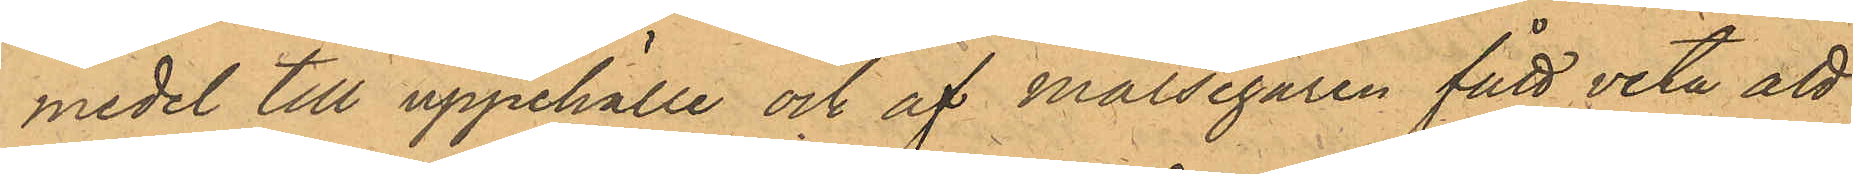medel till uppehälle och af Målsegaren fått veta att
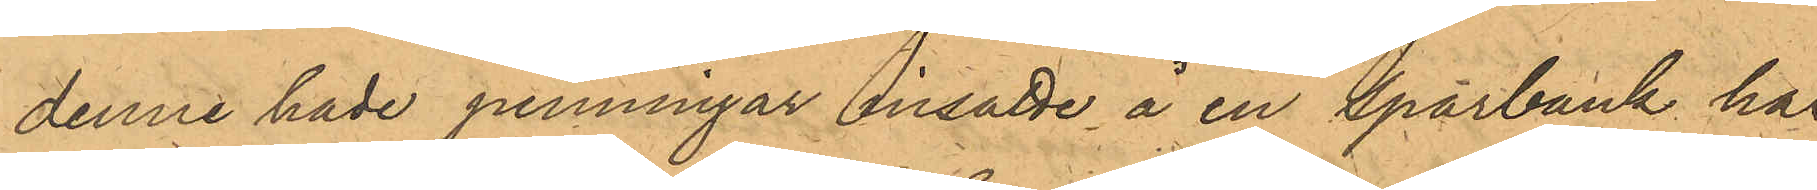denne hade penningar insatte å en Sparbank här
